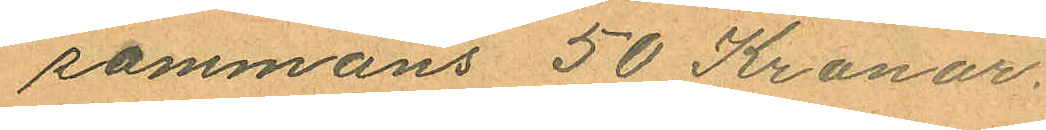sammans 50 Kronor.
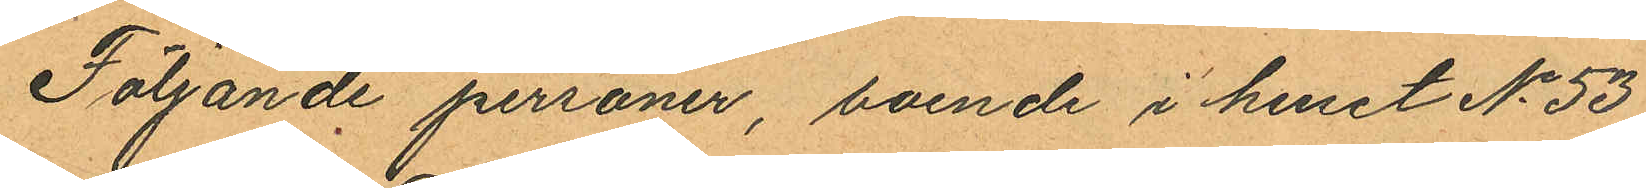Följande personer, boende i huuset No 53
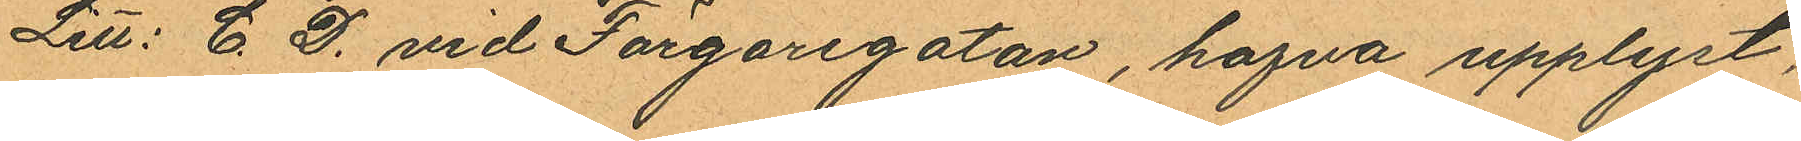Litt: C. D. vid Färgaregatan, hafva upplyst,
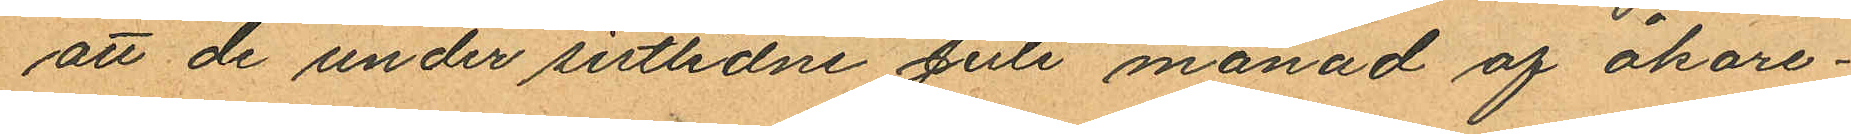att de under sistlidne Juli månad af åkare¬
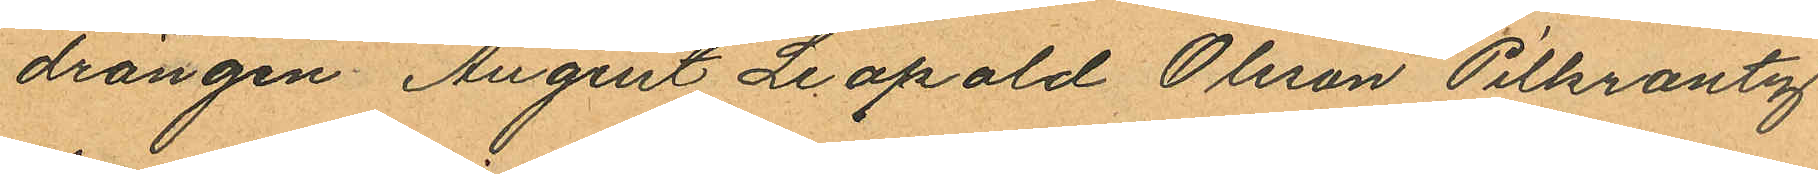drängen Augst Leopold Olsson Pilkrantz
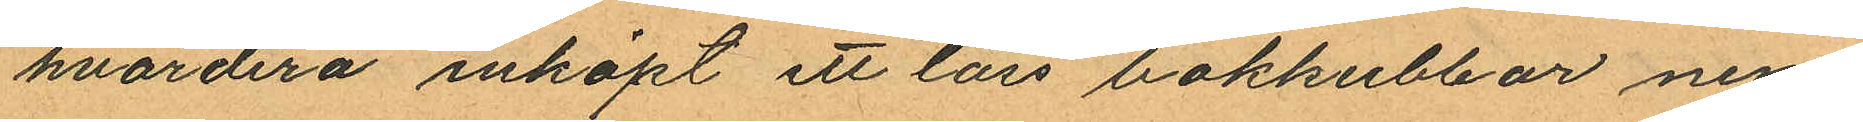hvardera inköpt ett lass bokkubbar nem¬
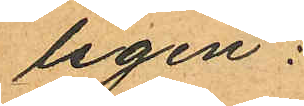ligen:
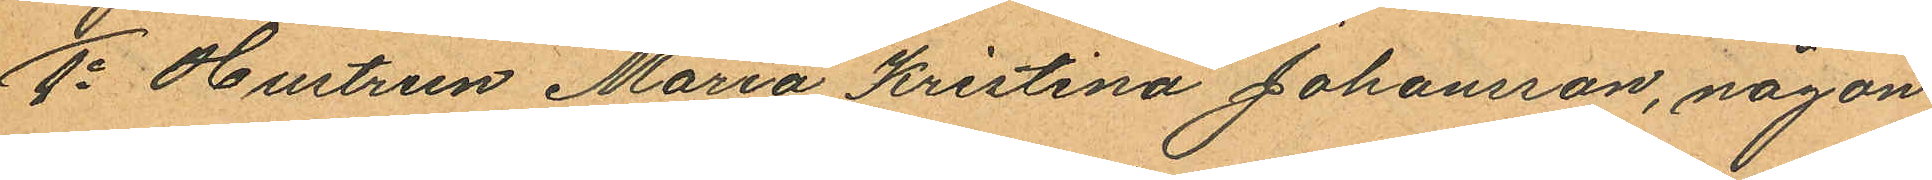1o Hustrun Maria Kristina Johansson, någon
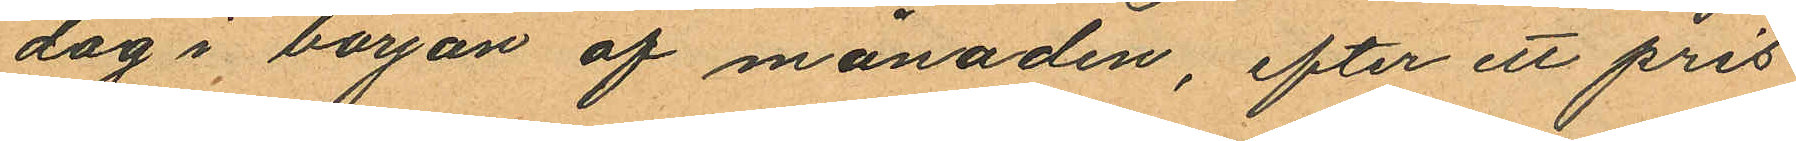dag i början af månaden, efter ett pris
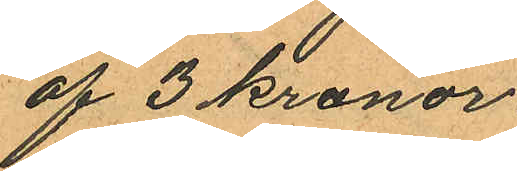af 3 kronor.
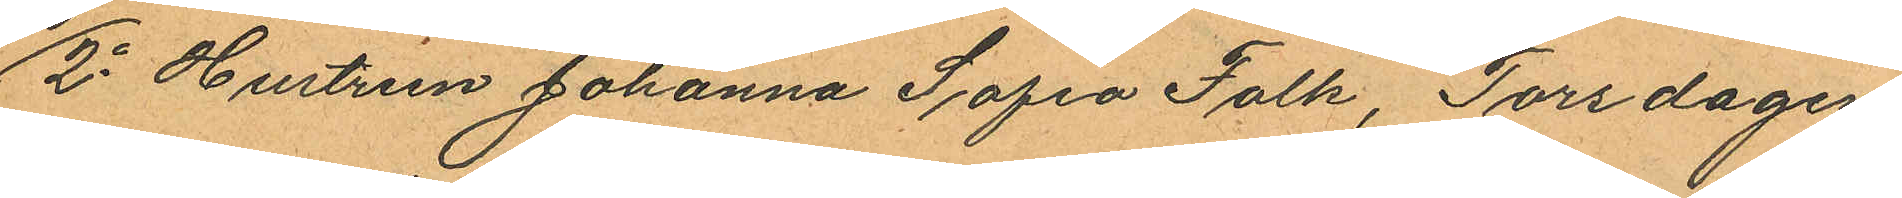2o Hustrun Johanna Sofia Falk, Torsdagen
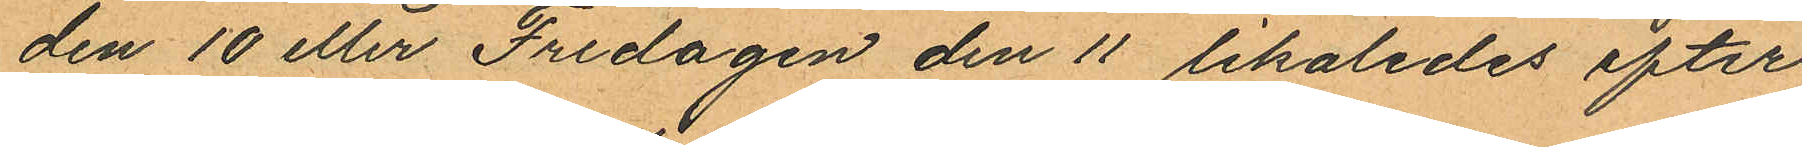den 10 eller Fredagen den 11 likaledes efter
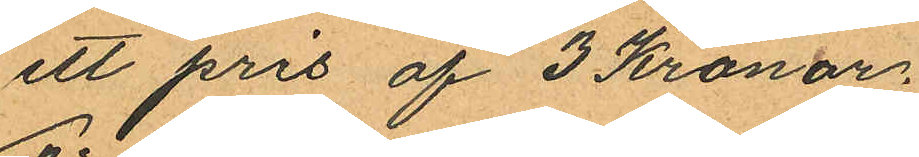ett pris af 3 Kronor.
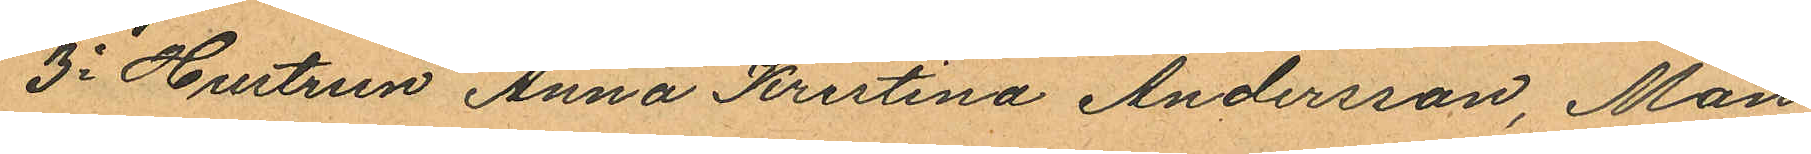3o Hustrun Anna Kristina Andersson, Mån¬
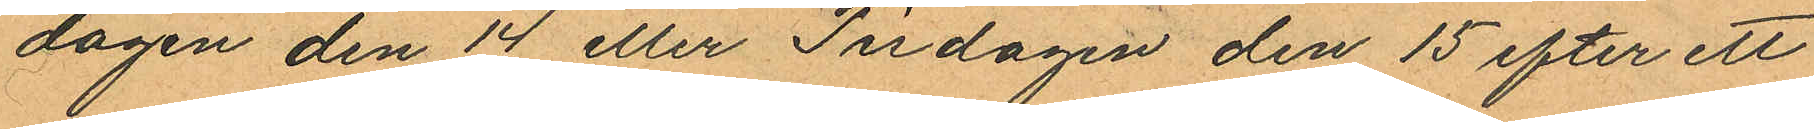dagen den 14 eller Tisdagen den 15 efter ett
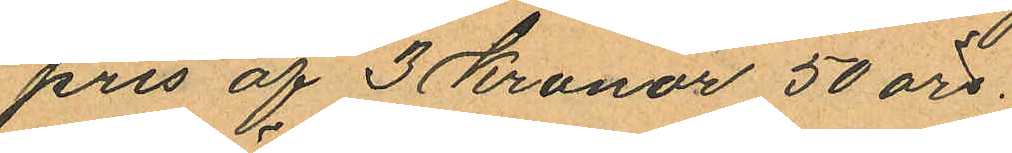pris af 3 Kronor 50 öre.
